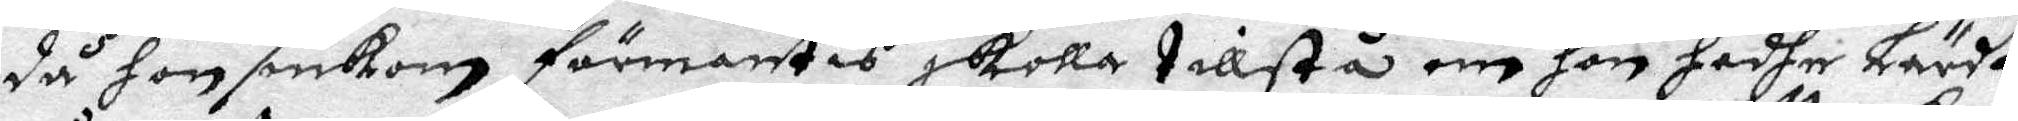då hon inkom förmantes skolla tillstå om hon hadhe Lärdt
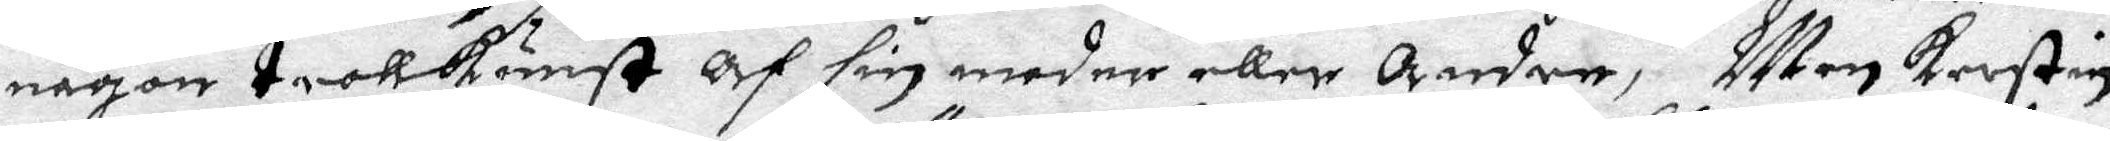någon trollkonst af sin moder eller Andre, Men Kerstin
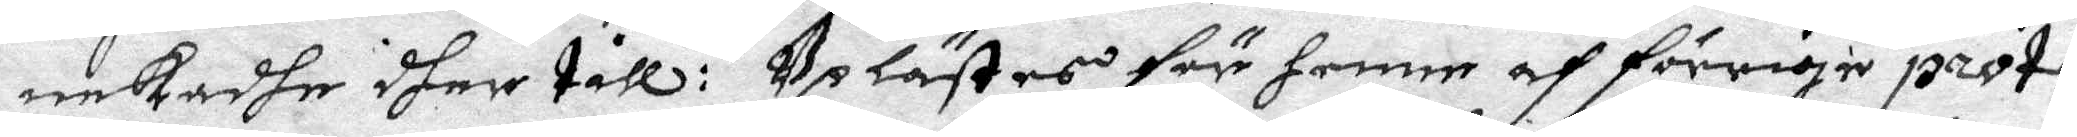nekadhe dher till: Uplästes för henne af förriga proto¬
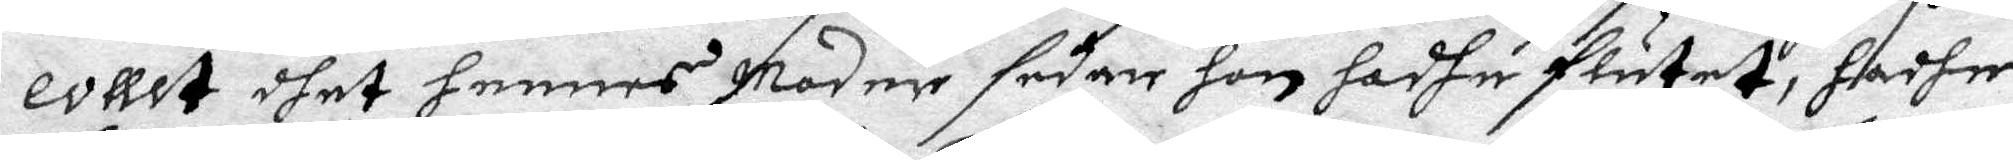collet dhet hennes Modher sedare hon hadhe flutet, hadhe
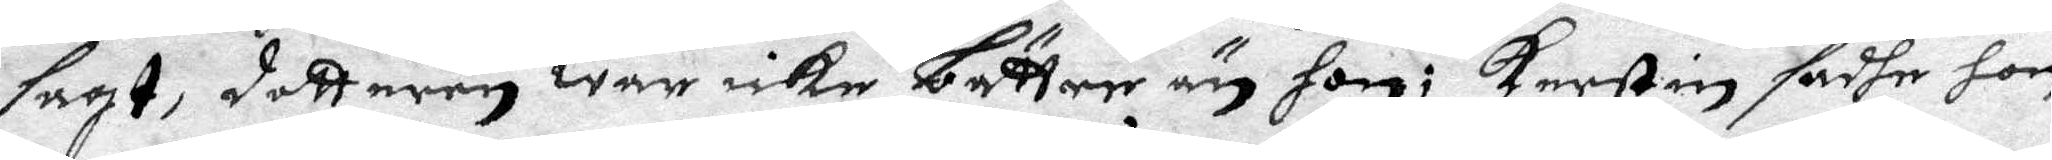sagt, dotteren war icke bättre än hon; Kerstin sadhe hon
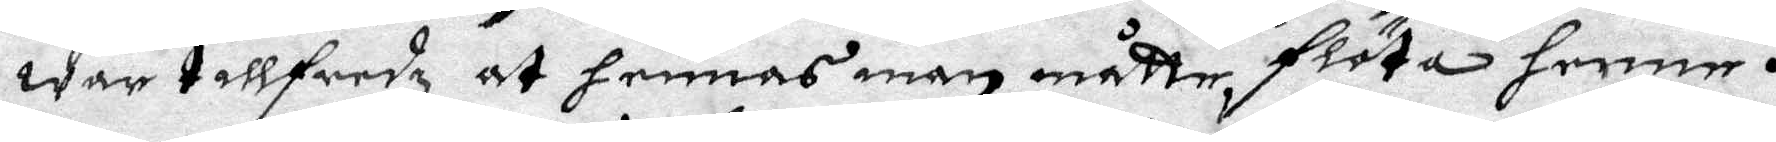war tillfredz at hennes man måtte flöta henne.
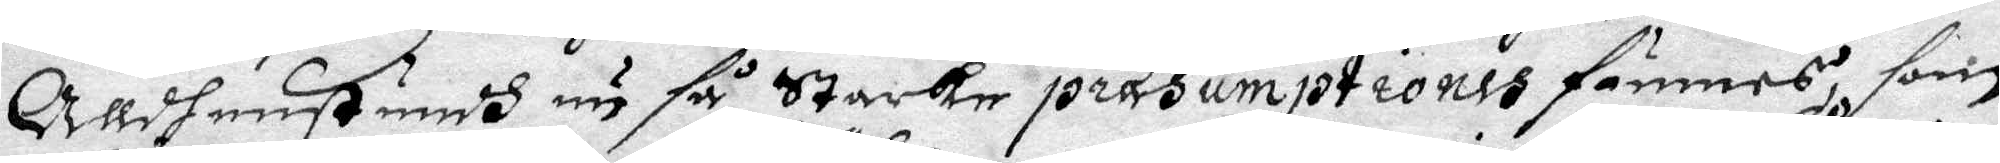Alldenstundh nu så Starke prasumptiones funnes som
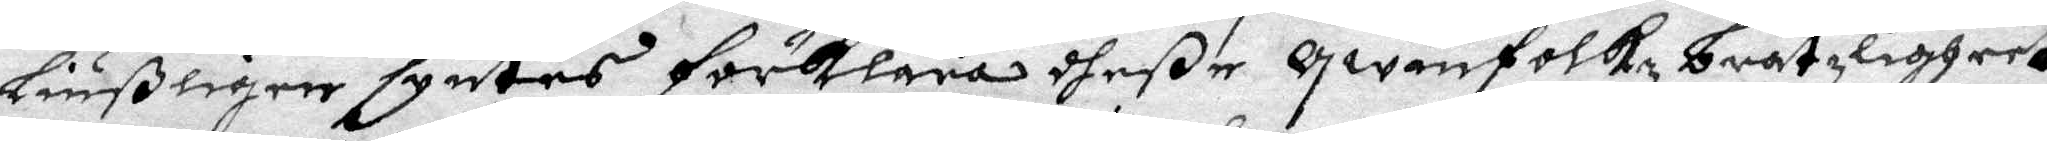Liußligen syntes förklara dheße qwinfolkz bråtzligheet
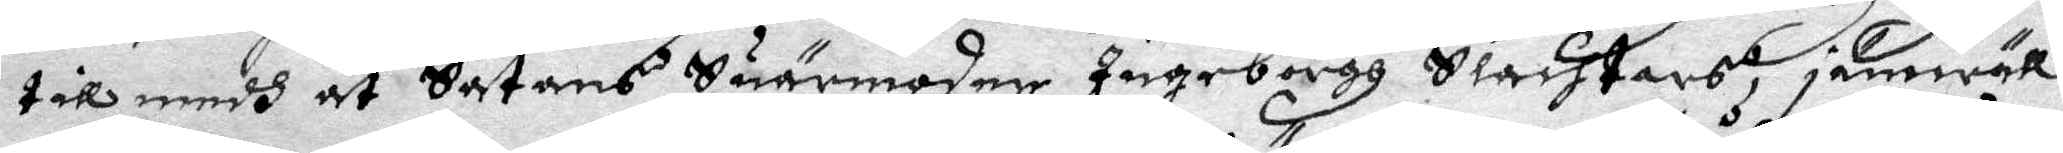till medh at Satans Suärmoder Ingeborgh Slachtars jämwäll
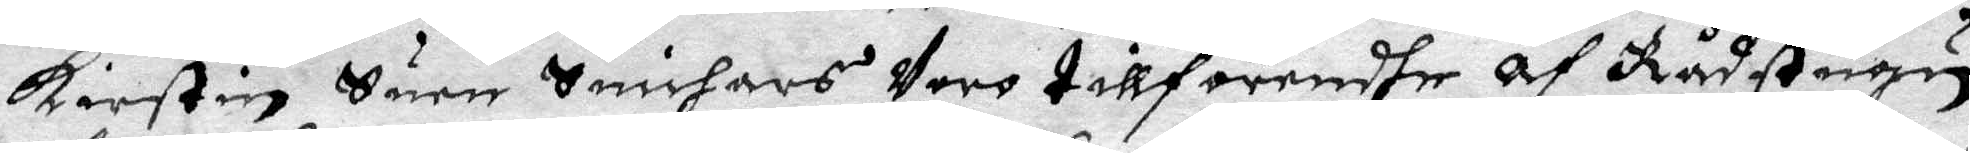Kerstin Suen Snichars Voro tillförendhe af Rådstugun
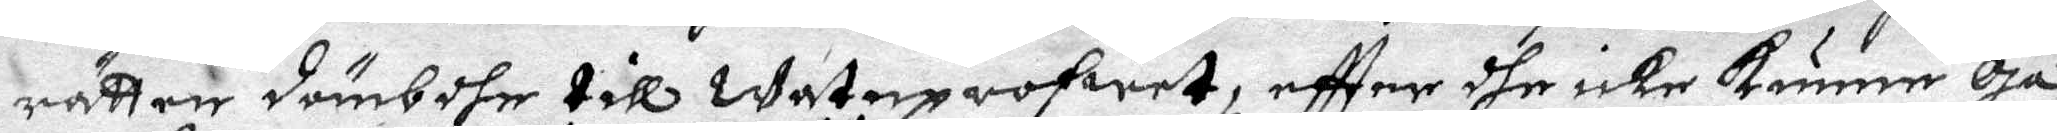rätter dömbdhe till watuprofwet, eftter dhe icke kunne Gå
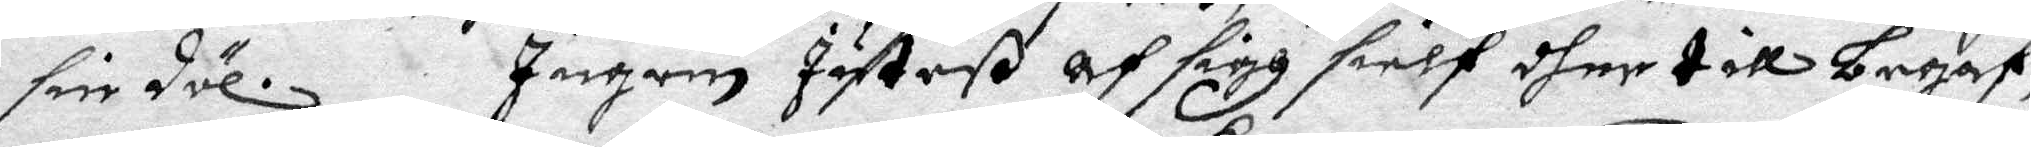sin däl.Ingrin Jutheß af sigh sielf dher till begaf,
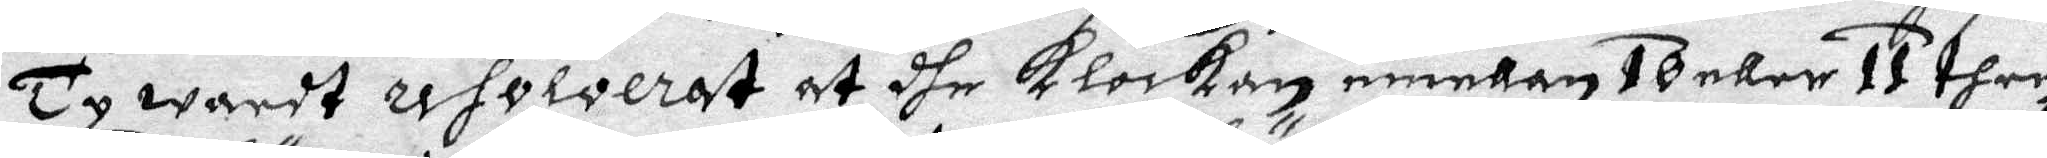Ty wardt resolverat at dher Klockan mellan 10 eller 11 then
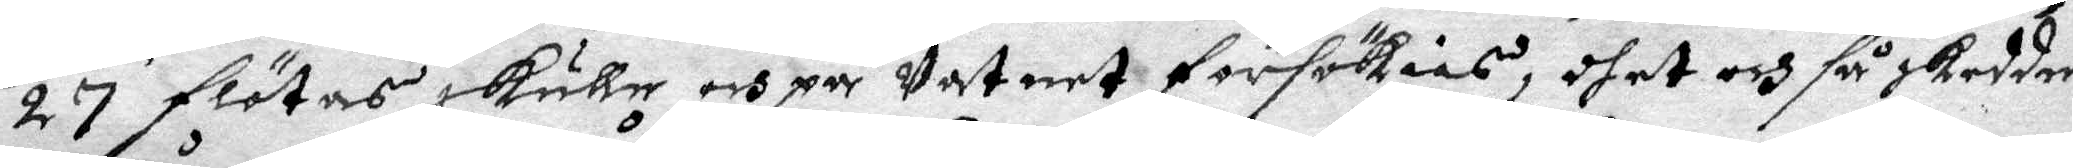27 flötas skulle och på Vatnet försökias, dhet och så skedde
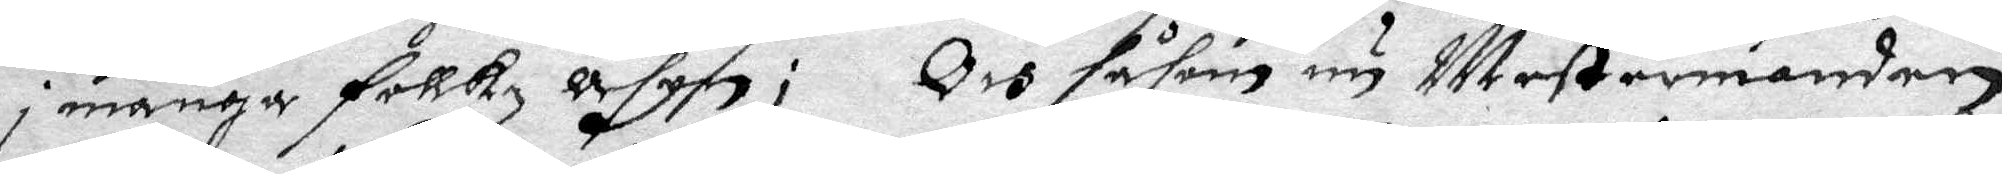i många follkz åsyn; Och såsom nu Mestermanden
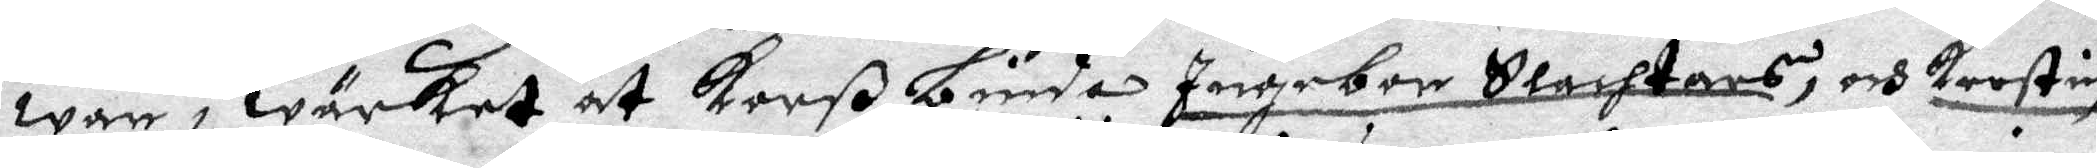war i wärket at Korßbinda Ingebor Slachtars, och Kerstin
